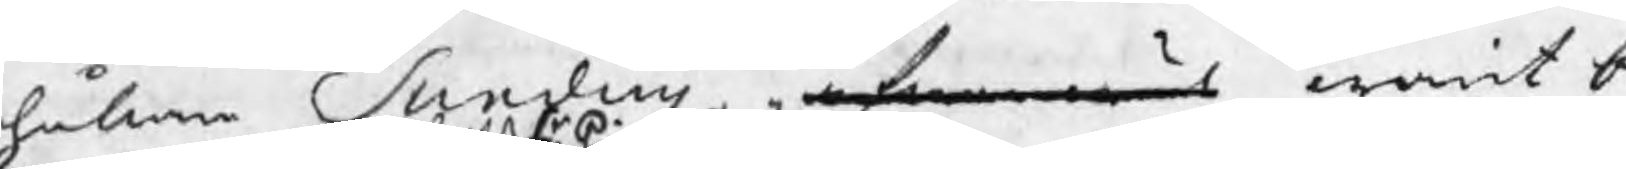hållare Sundins äfwen wäl warit be
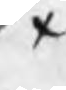x
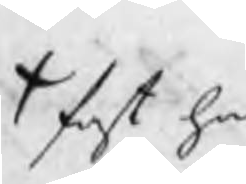x fast han
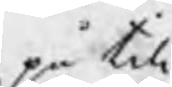på till¬
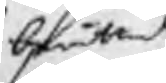berättade
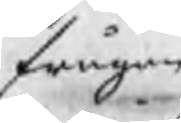frågan
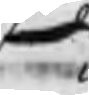sade
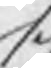sig
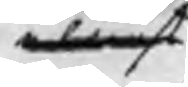eliest
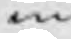nu
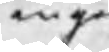ingen
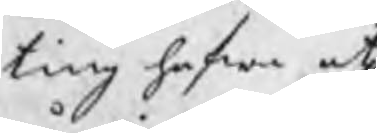ting hafwa at
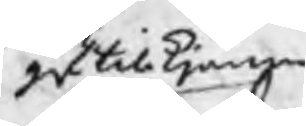ge till kjänna
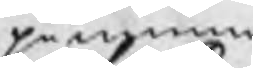påminna,
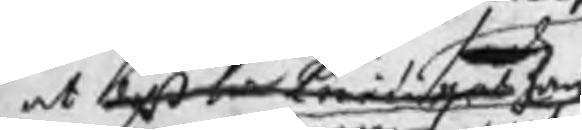at deß Hr Principal han
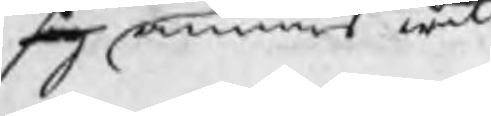sig annan wil
